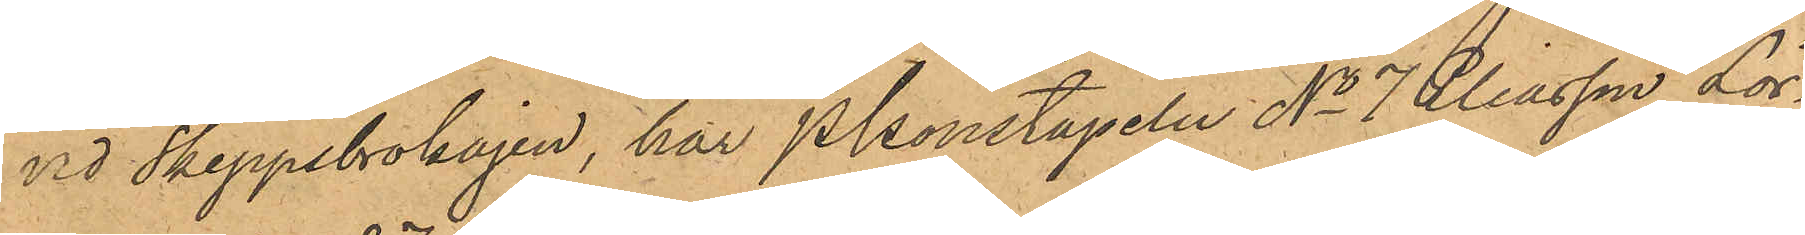vid Skeppsbrokajen, har Pkonstapeln No 7 Eliasson Lör¬
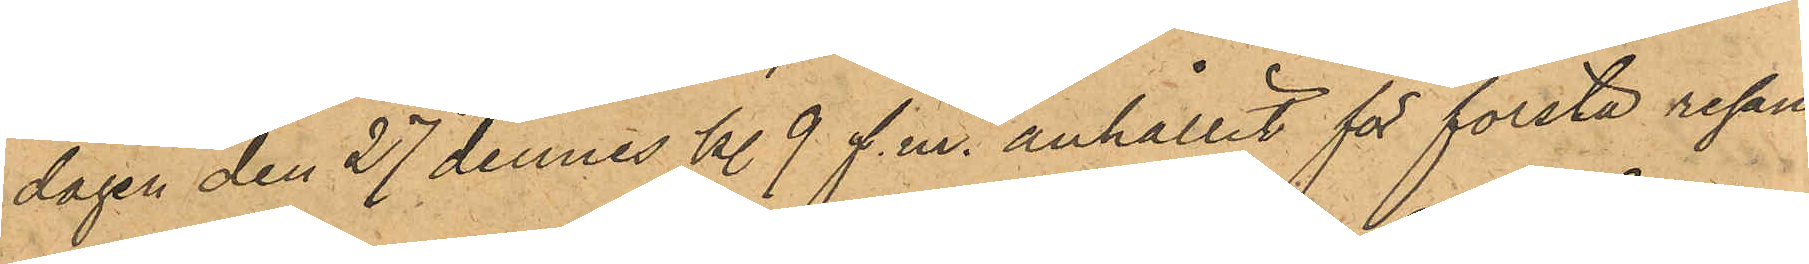dagen den 27 dennes kl 9 f.m. anhållit för första resan
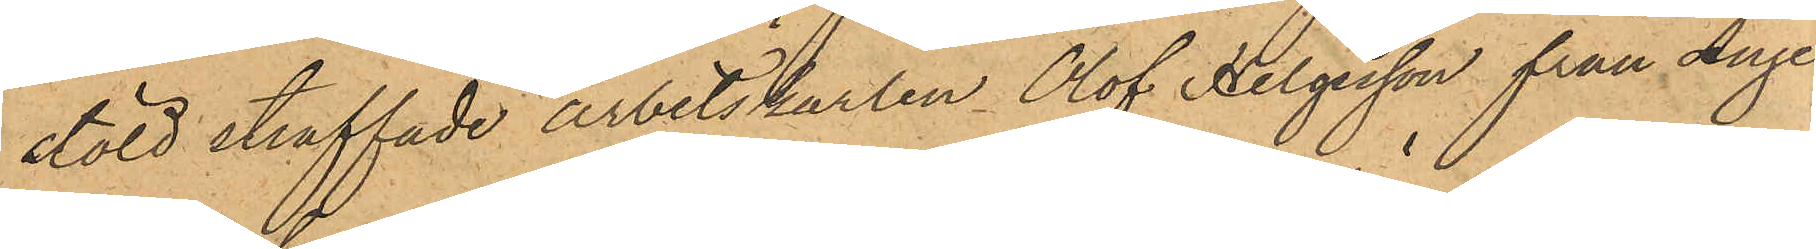stöld straffade arbetskarlen Olof Helgesson från Ange¬
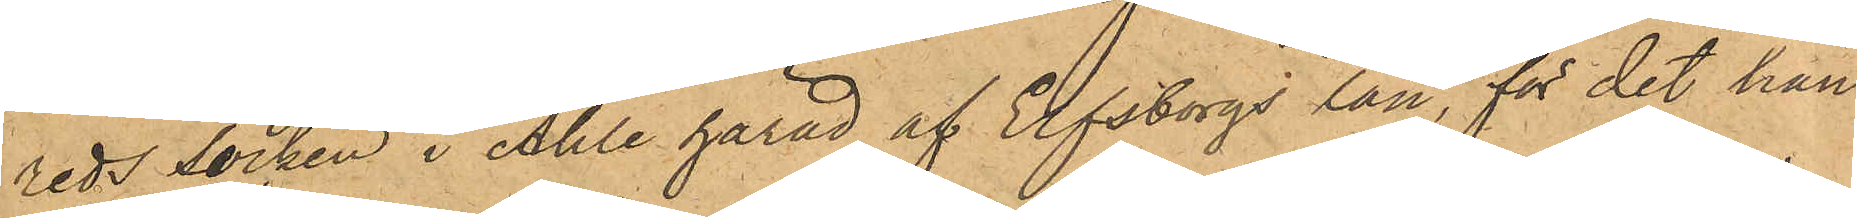reds socken i Ahle härad af Elfsborgs län, för det han
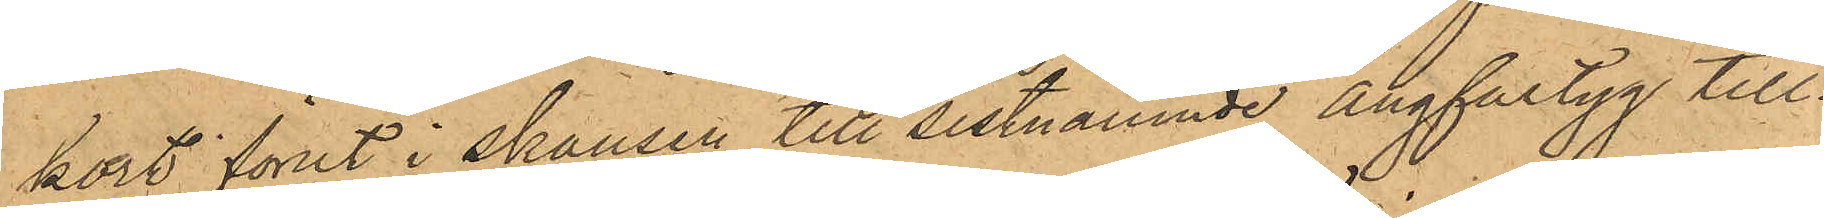kort förut i skansen till sistnämnde Ångfartyg till¬
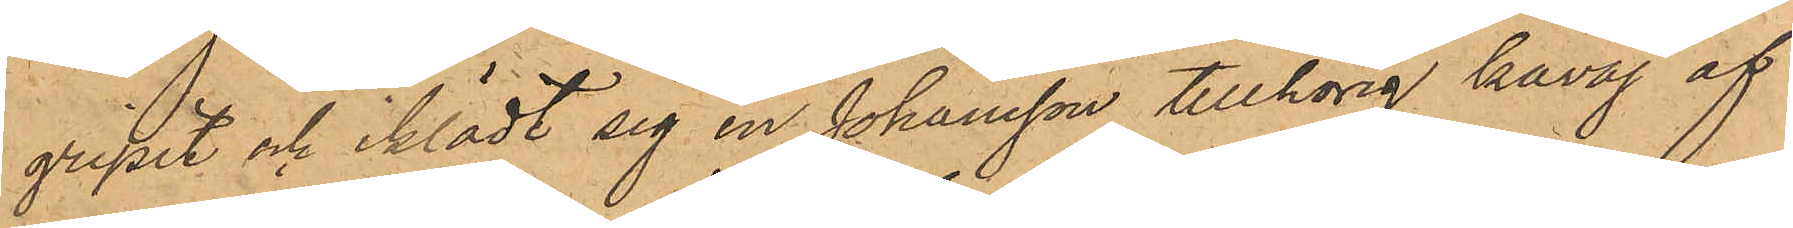gripit och iklädt sig en Johansson tillhörig kavaj af
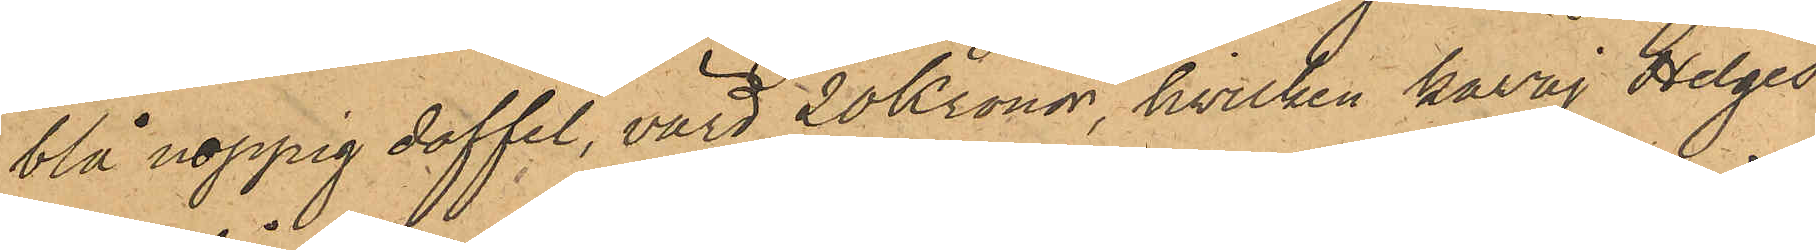blå noppig doffel, värd 20 Kronor, hvilken kavaj Helges¬
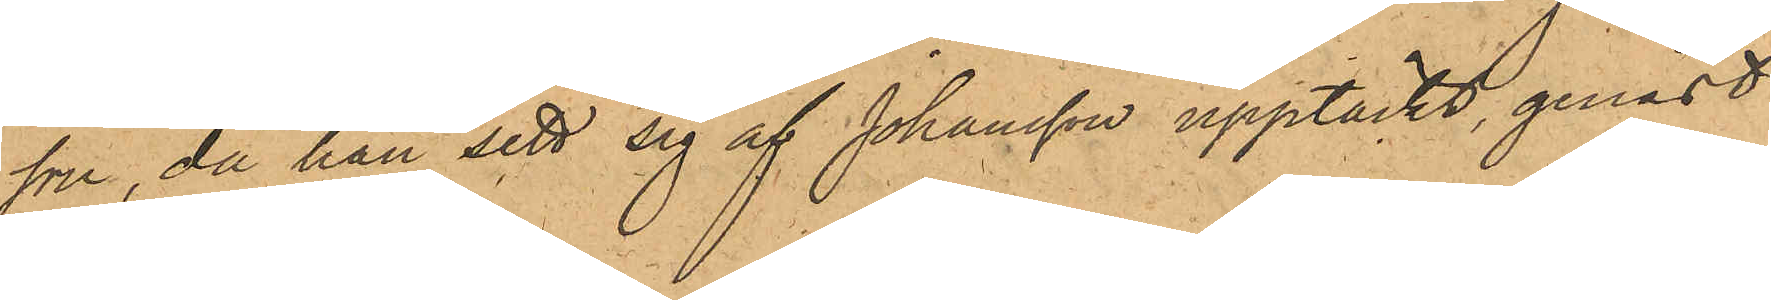son, då han sett sig af Johansson upptäckt, genast
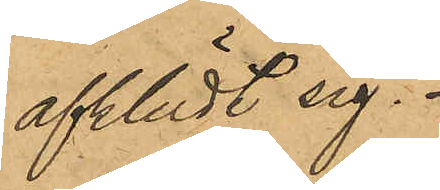afklädt sig.
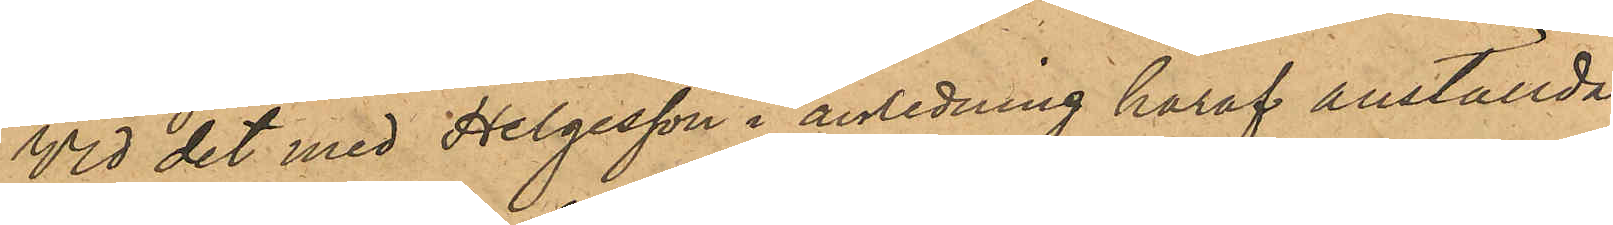Vid det med Helgesson i anledning häraf anställda
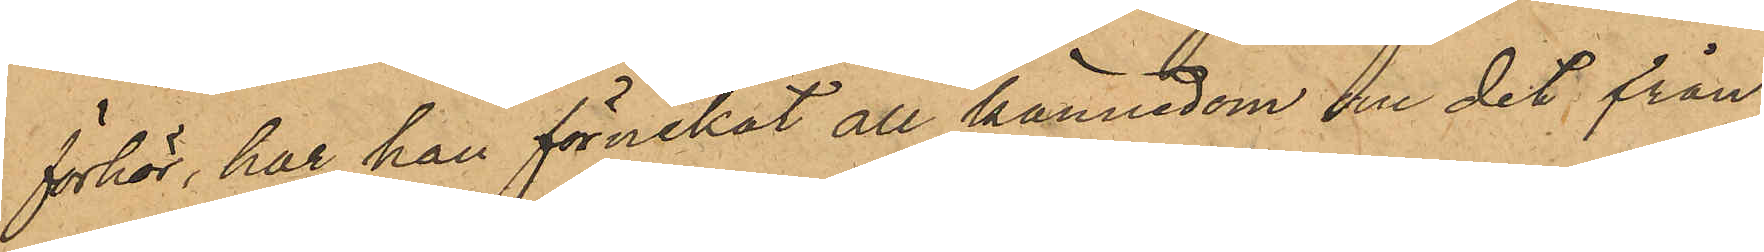förhör, har han förnekat all kännedom om det från
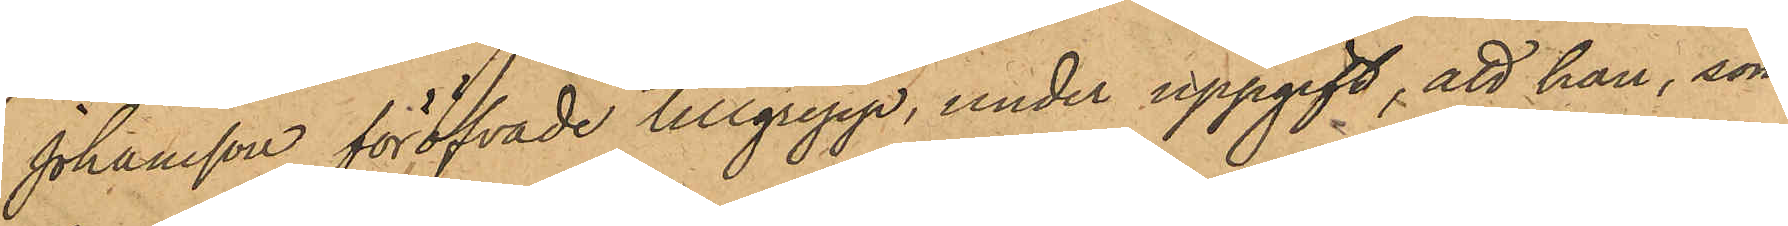Johansson föröfvade tillgrepp, under uppgift, att han, som
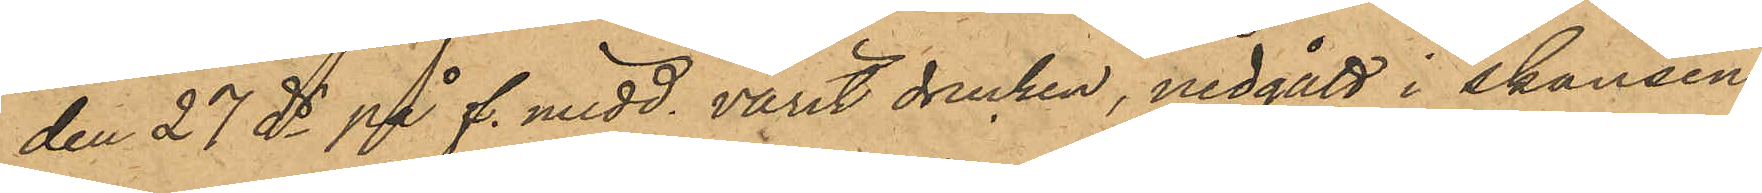den 27 ds på f. midd. varit drucken, nedgått i skansen
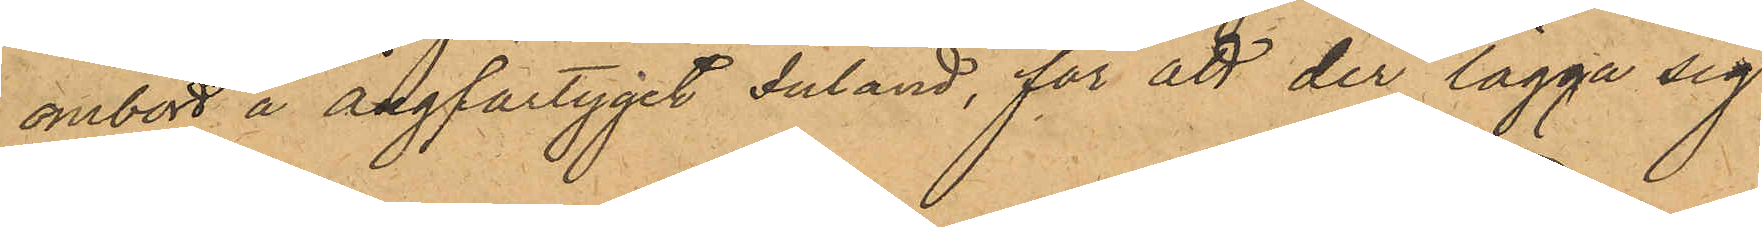ombort å ångfartyget Inland, för att der lägga sig
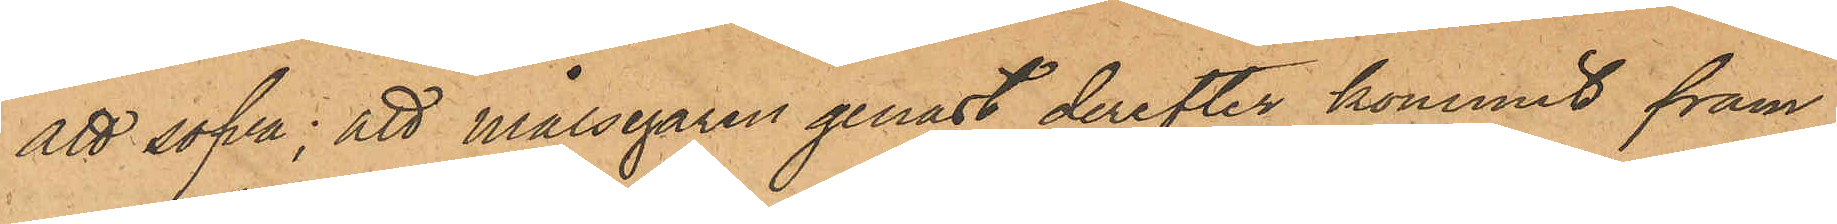att sofva; att Målsegaren genast derefter kommit fram
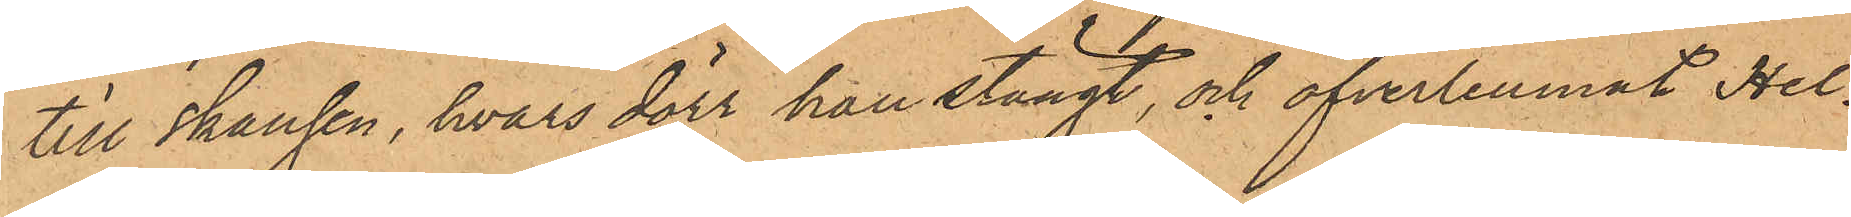till skansen, hvars dörr han stängt, och öfverlemnat Hel¬
